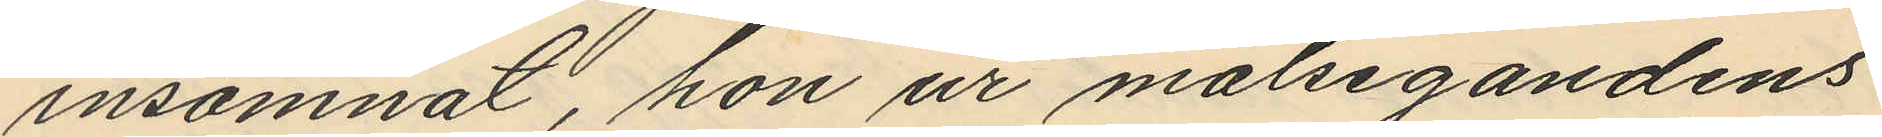insomnat, hon ur målsegandens
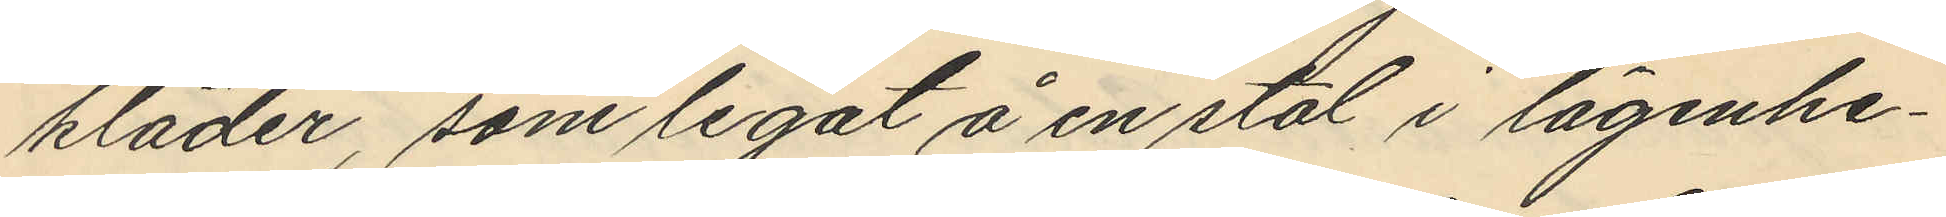kläder, som legat å en stol i lägenhe¬
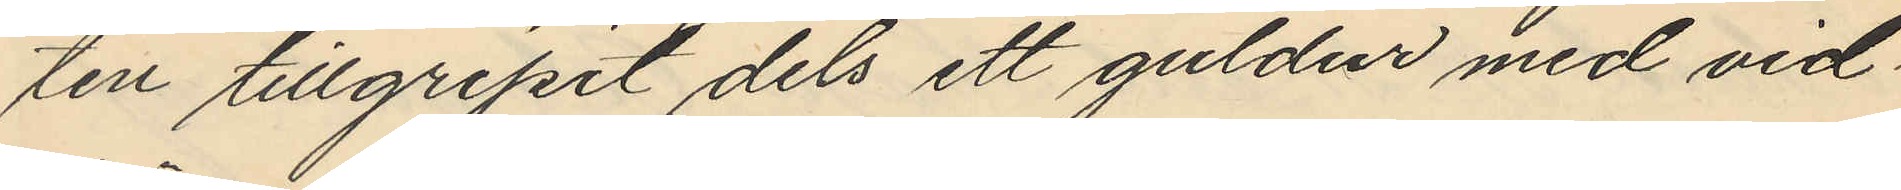ten tillgripit dels ett guldur med vid¬
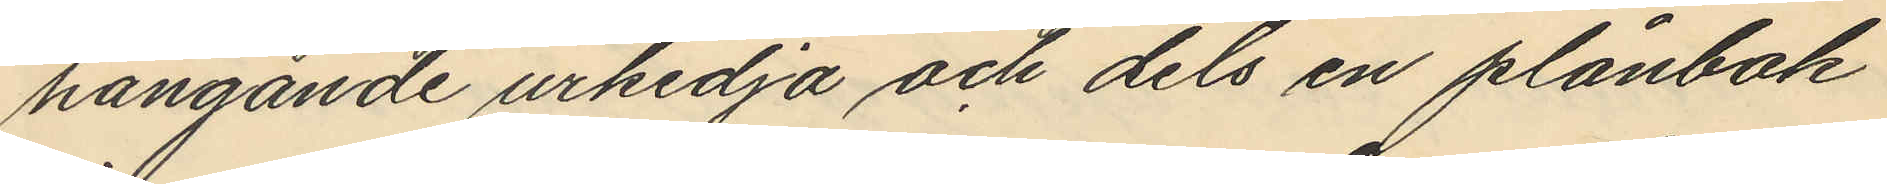hängande urkedja och dels en plånbok
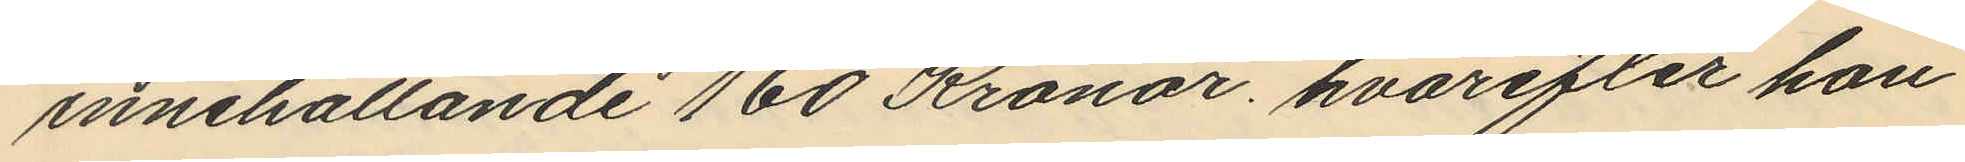innehållande 160 Kronor, hvarefter hon
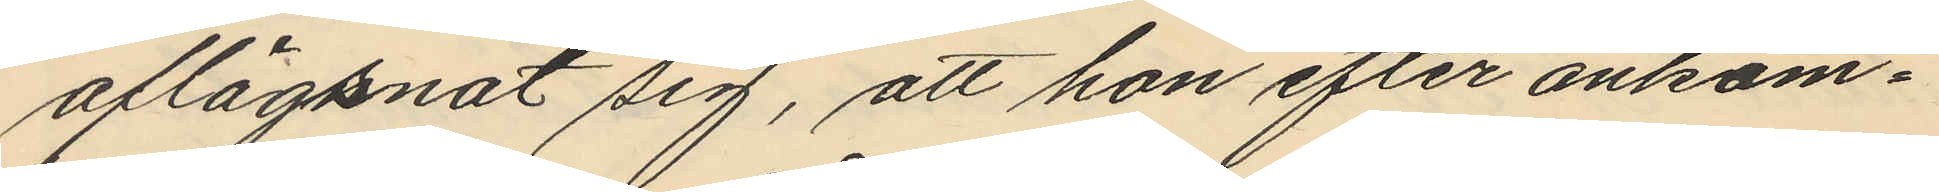aflägsnat sig, att hon efter ankom¬
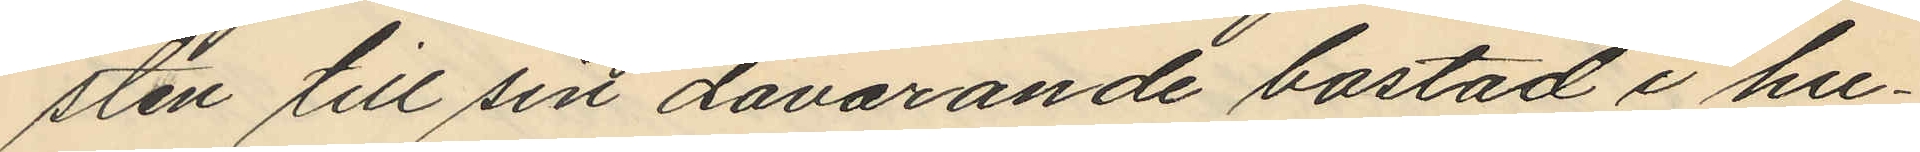sten till sin dåvarande bostad i hu¬
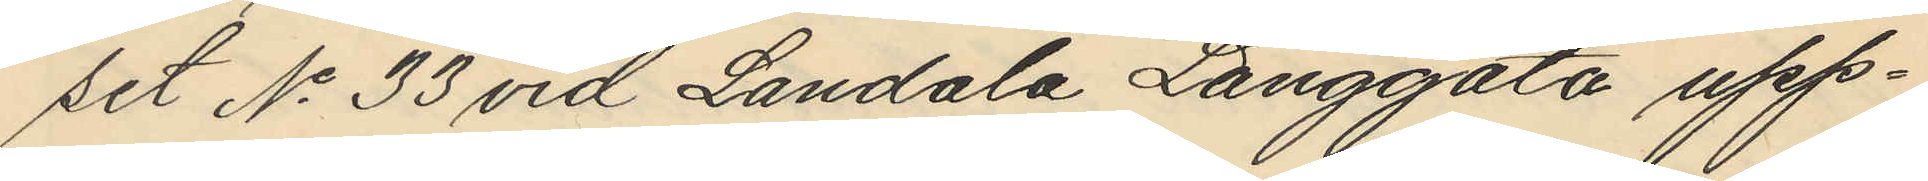set No 33 vid Landala Långgata upp¬
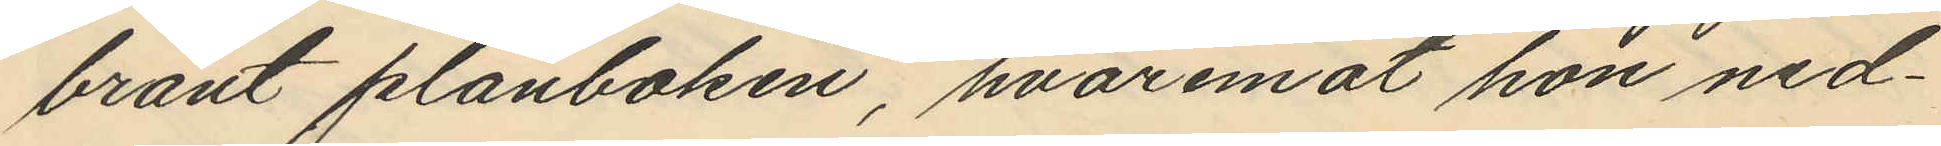bränt plånboken, hvaremot hon ned¬
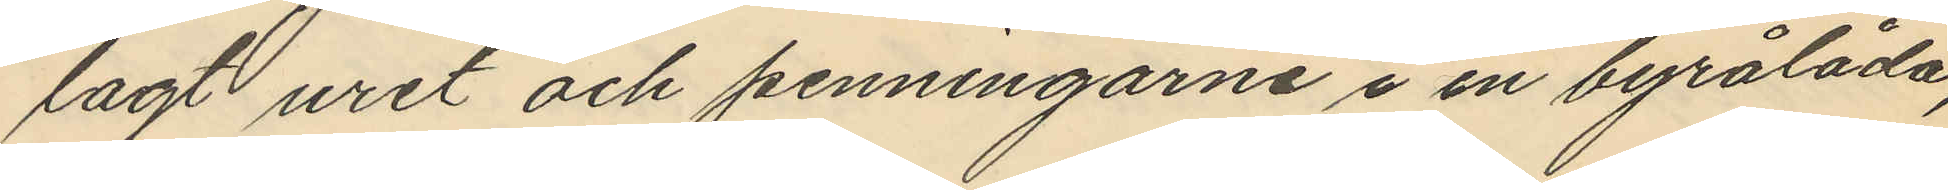lagt uret och penningarne i en byrålåda,
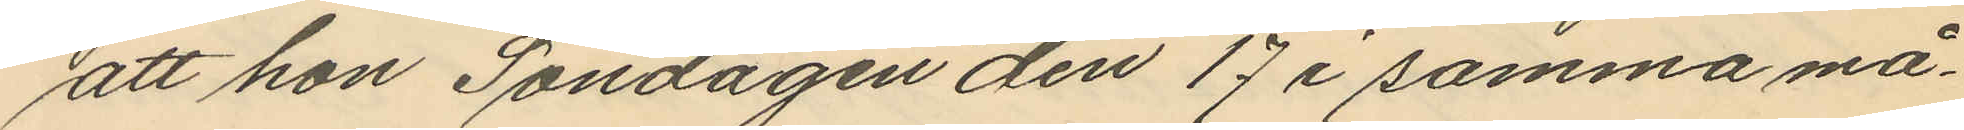att hon Söndagen den 17 i samma må¬
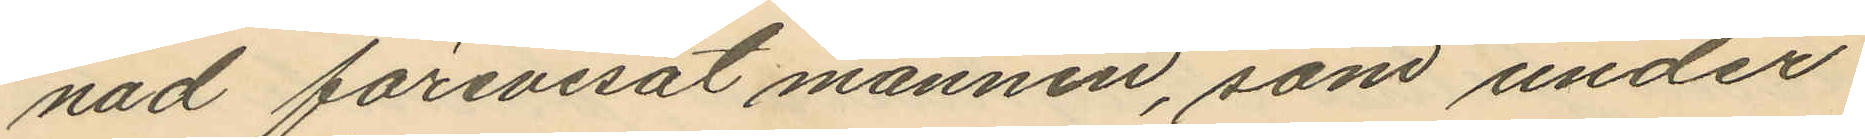nad förevisat mannen, som under
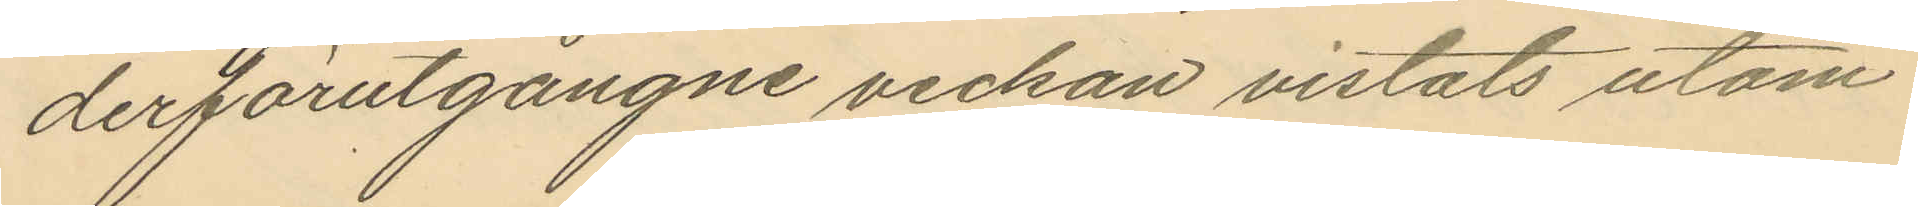derförutgångne veckan vistats utom
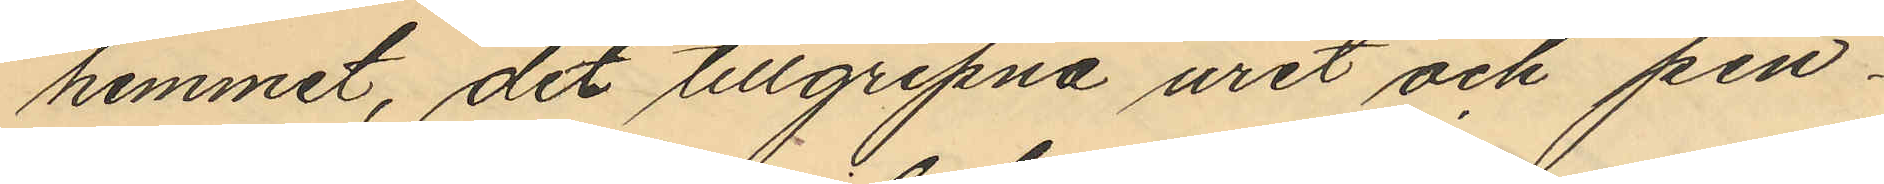hemmet, det tillgripna uret och pen¬
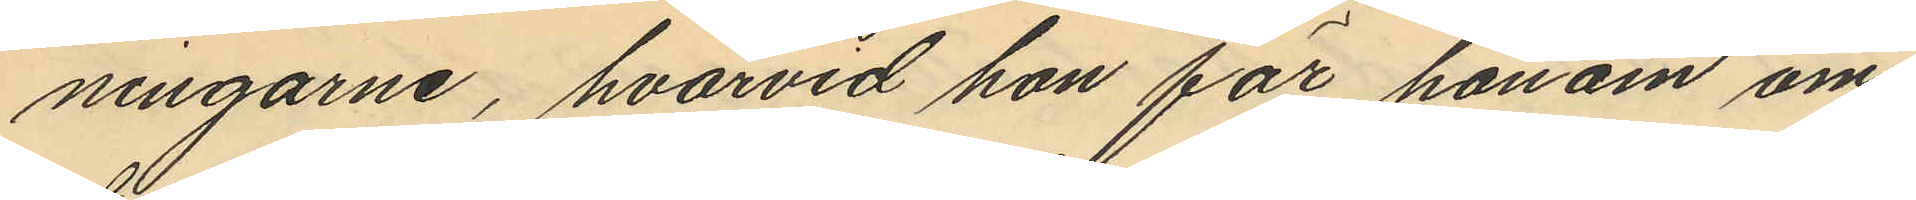ningarne, hvarvid hon för honom om¬
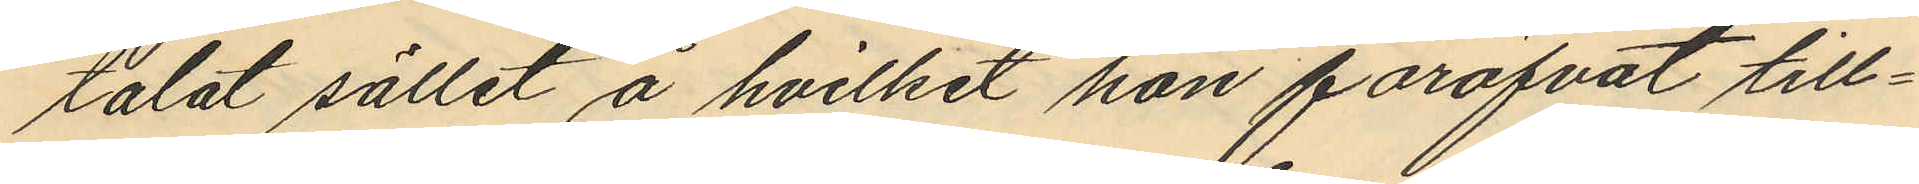talat sället å hvilket hon föröfvat till¬
